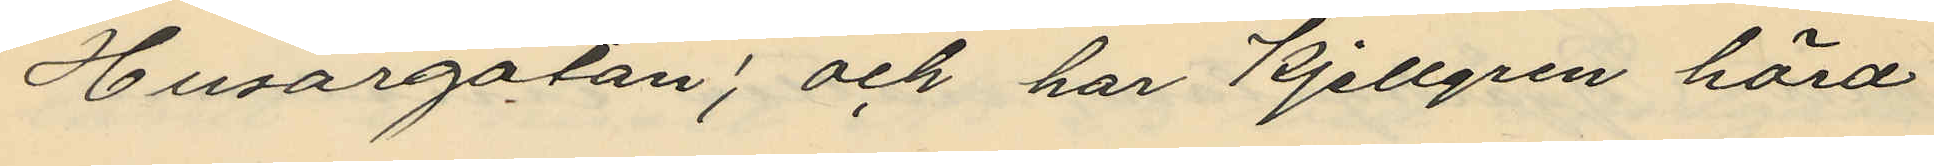Husargatan; och har Kjellgren hörd
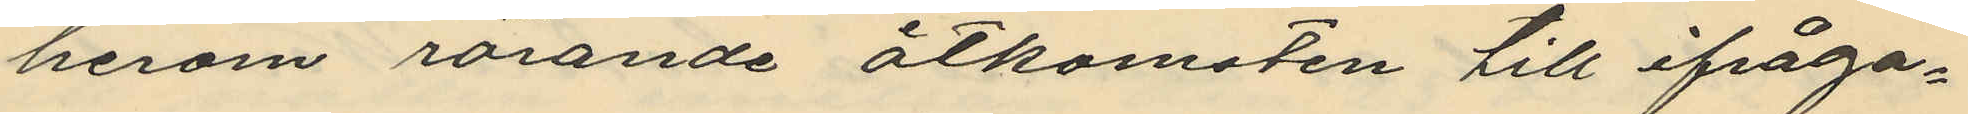herom rörande åtkomsten till ifråga¬
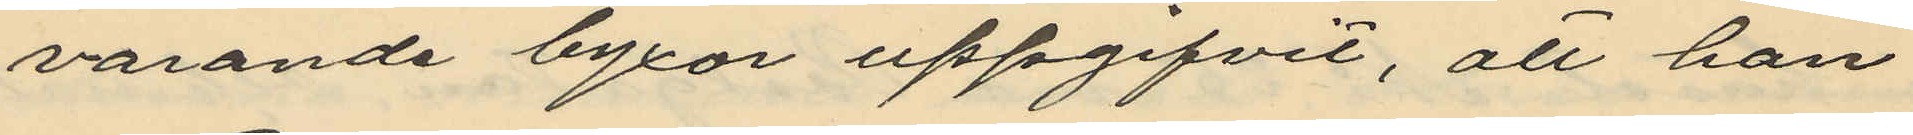varande byxor uppgifvit, att han
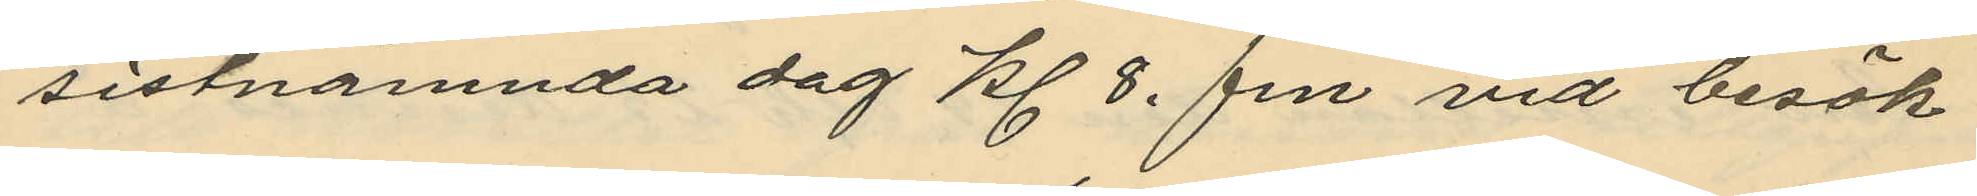sistnämnda dag kl 8. fm vid besök
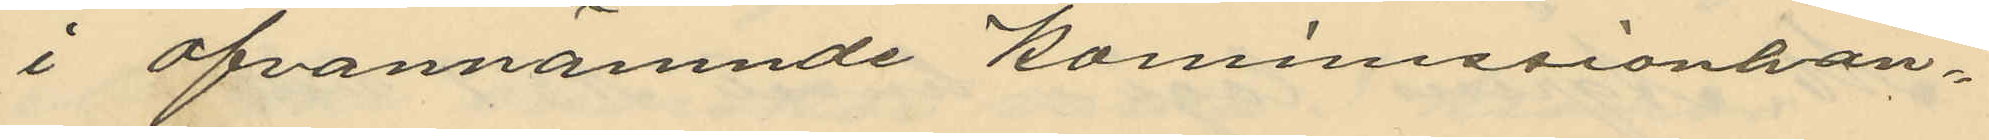i ofvannämnde Kommissionhan¬
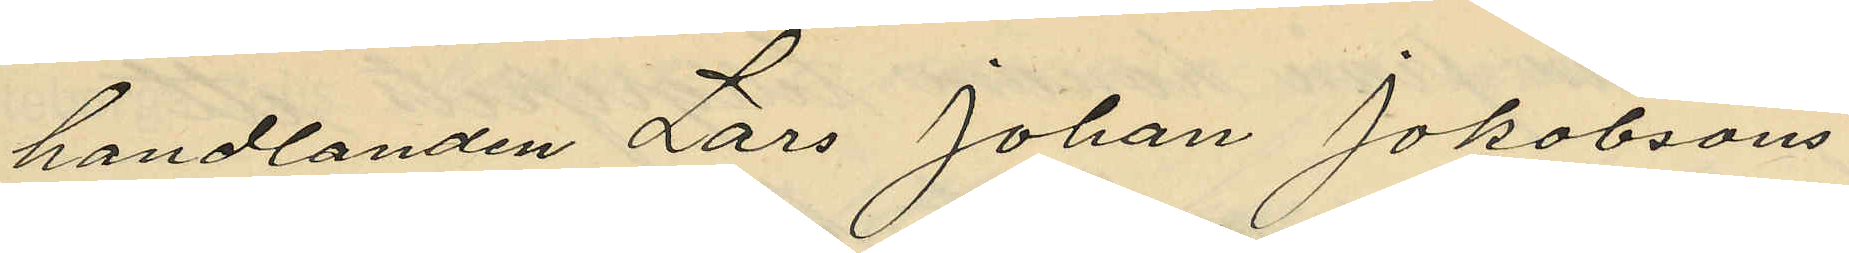handlanden Lars Johan Jakobsons
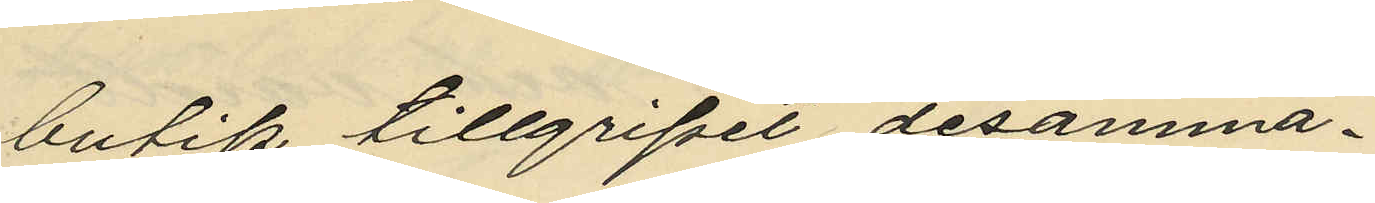butik tillgripit desamma.
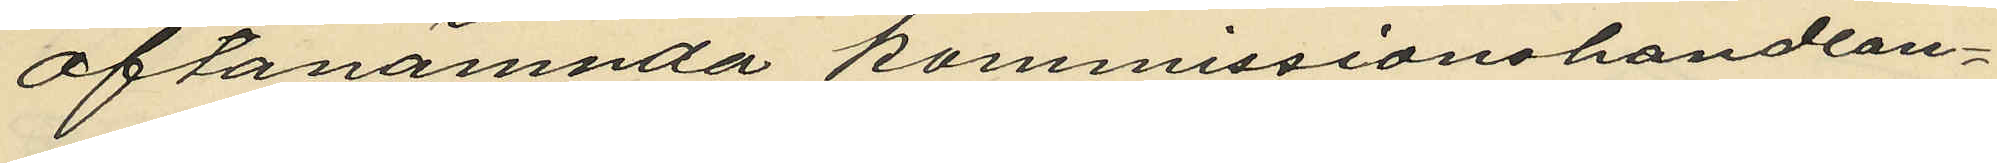oftanämnda kommissionshandlan¬
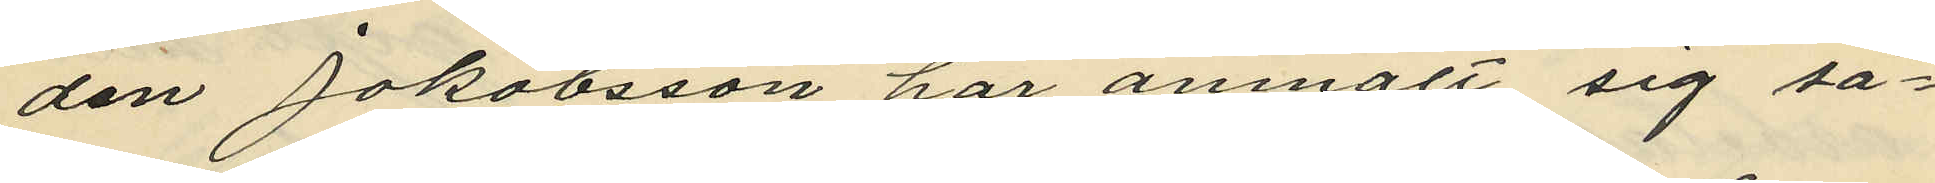den Jakobsson har anmält sig så¬
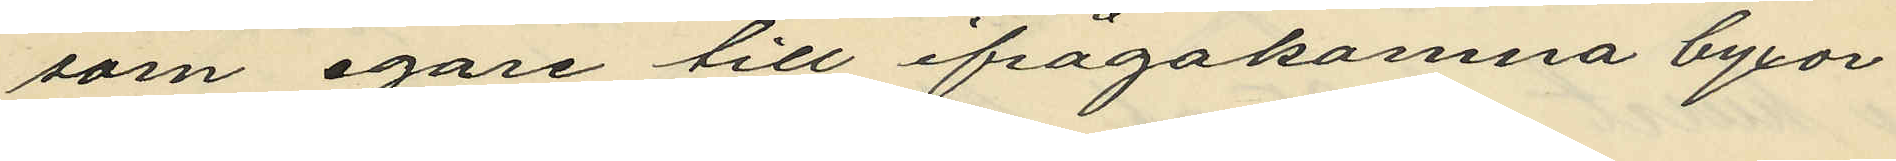som egare till ifrågakomna byxor
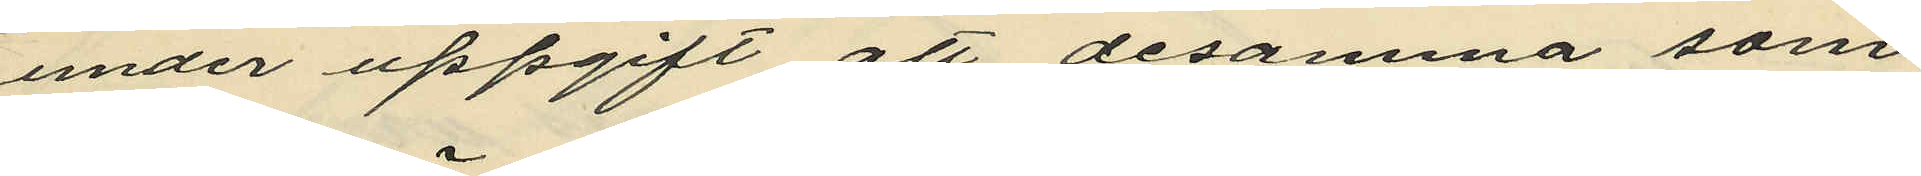under uppgift att desamma som
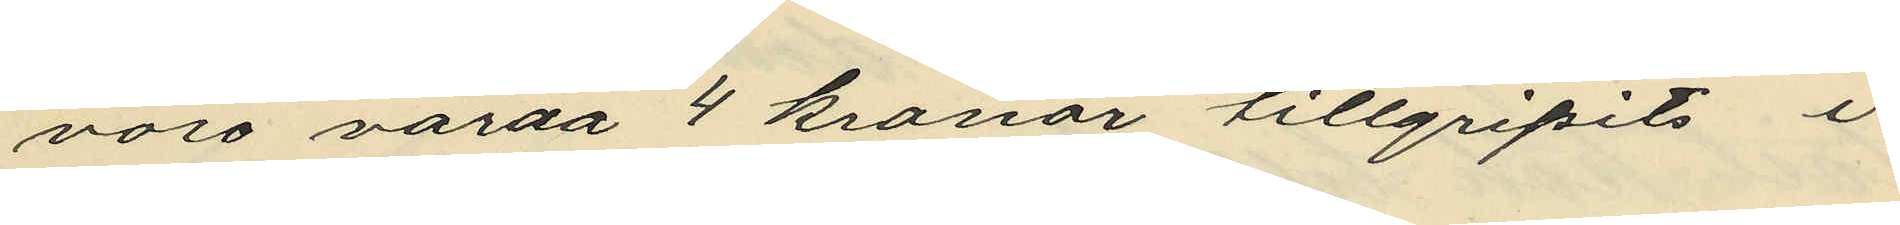voro värda 4 kronor tillgripits i
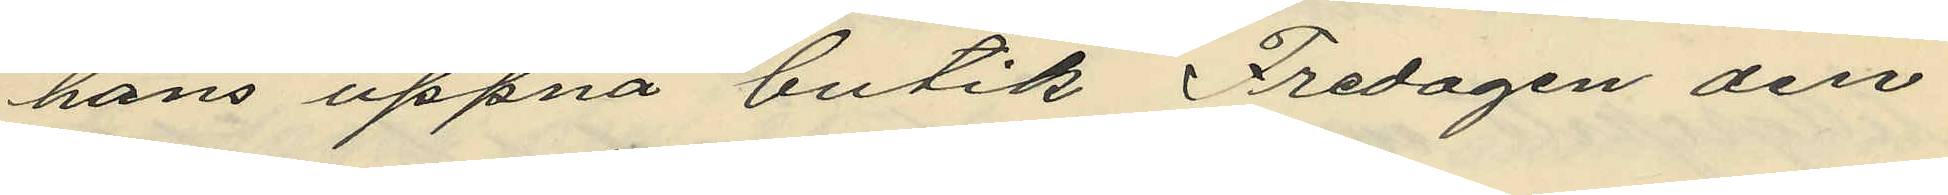hans öppna butik Fredagen den
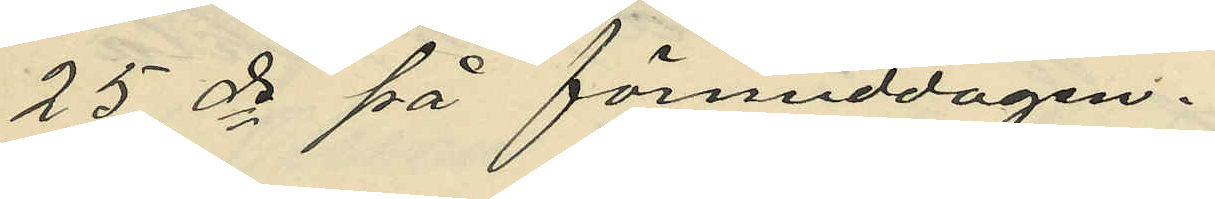25 ds på förmiddagen
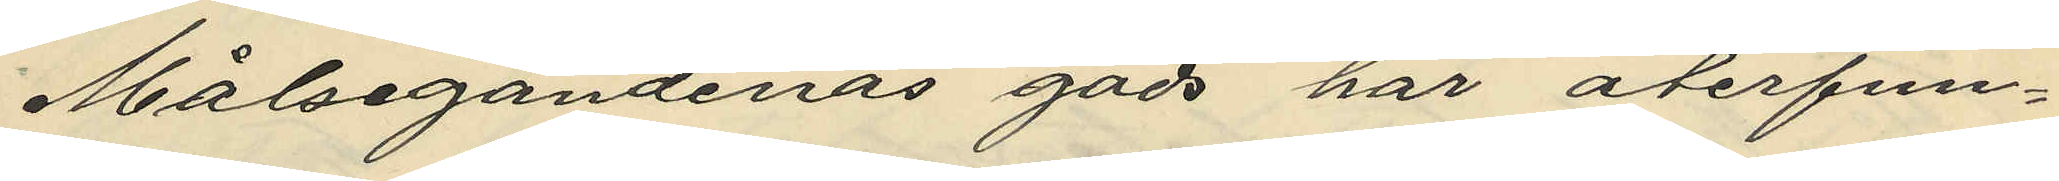Målsegandenas gods har återfun¬
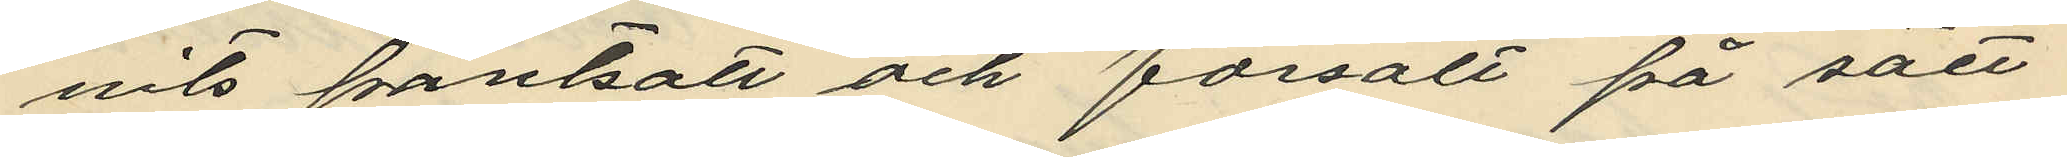nits pantsatt och försålt på sätt
